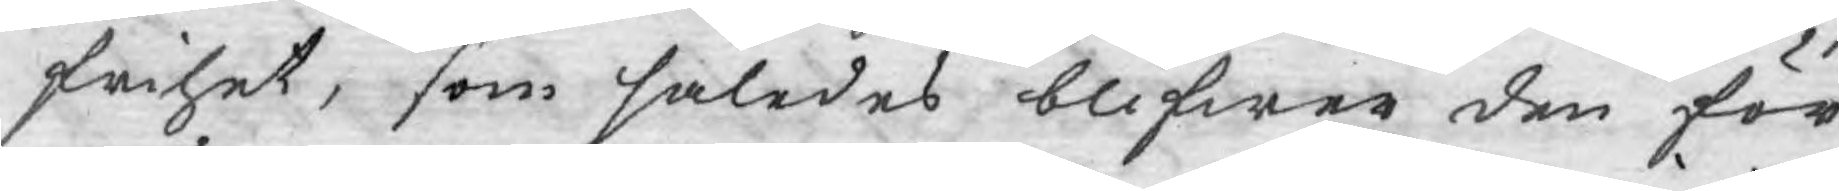frihet, som således blifwer den för¬
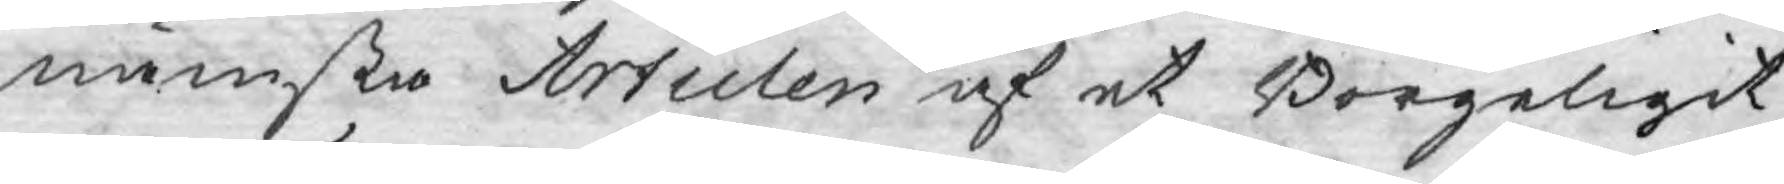nämsta Articlen af et Borgeligit
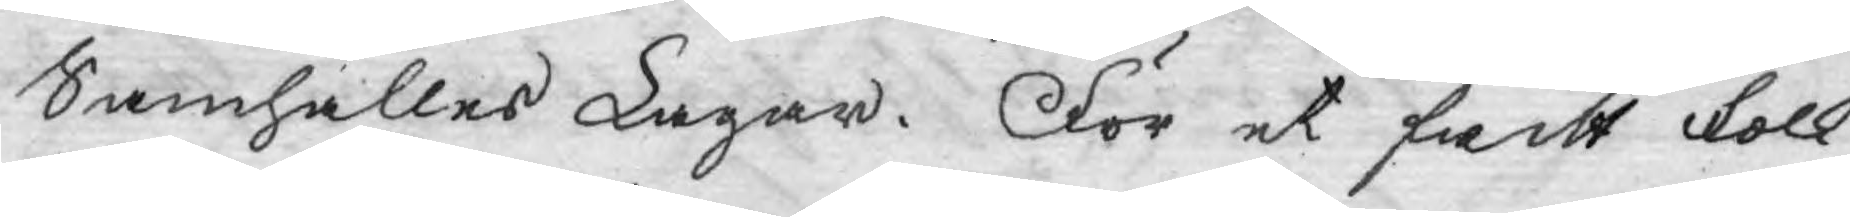Samhälles Lagar. För et fritt folk
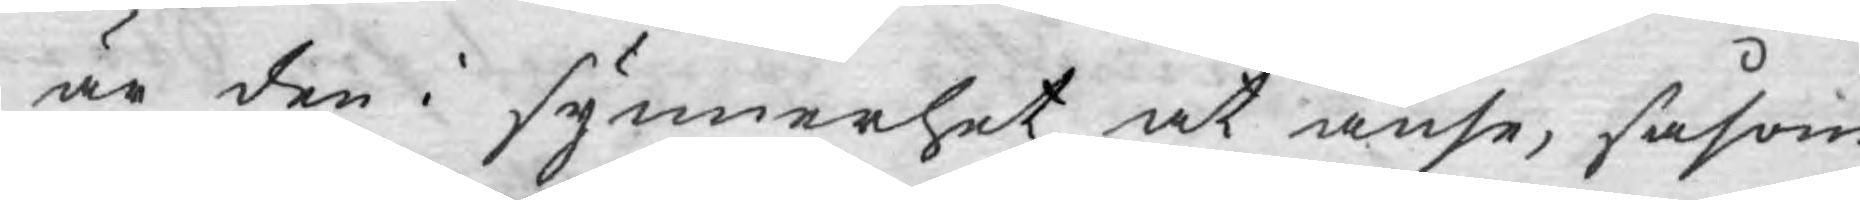är den i synnerhet at anse, såsom
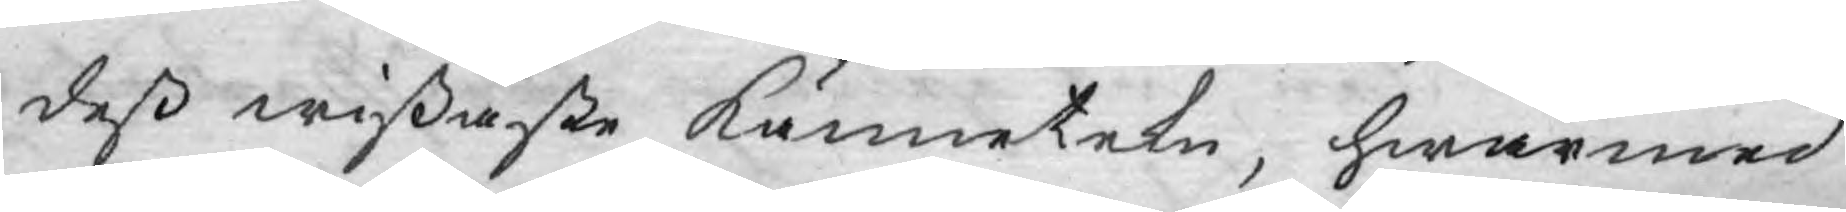deß wißaste kännetekn, hwarmed
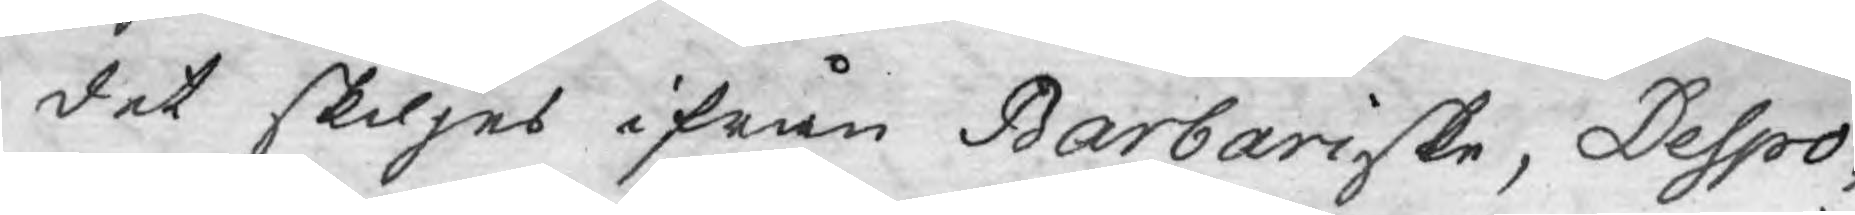det skiljes ifrån Barbariske, Despo¬
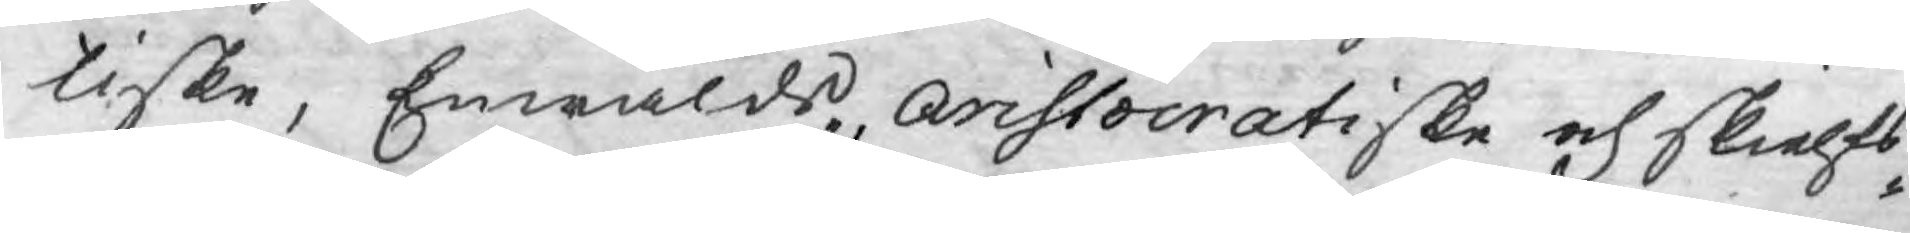tiske, Enwälds, aristocratiske och skielfs¬
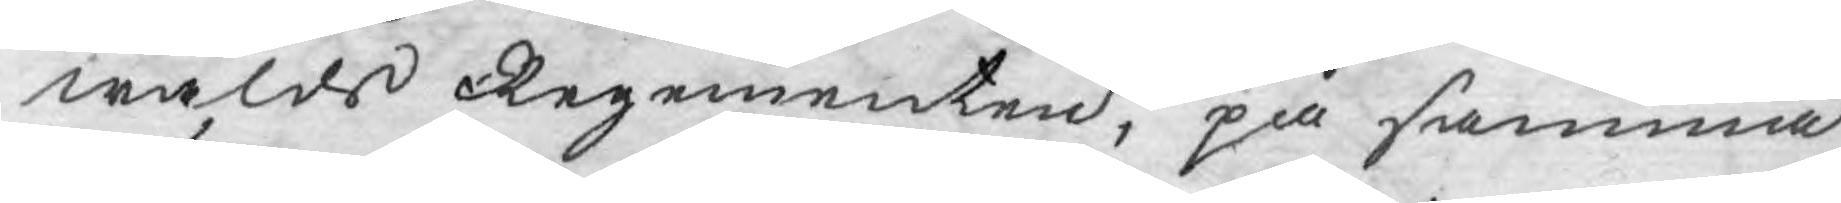wålds Regementen, på samma
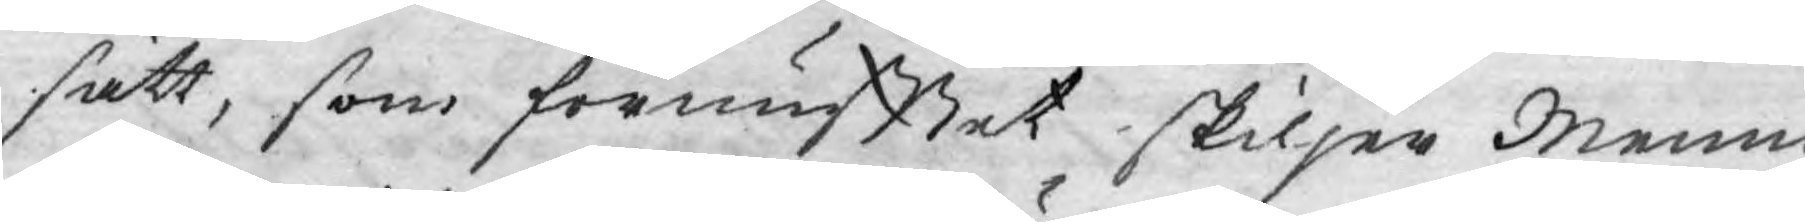sätt, som förnufftet skiljer Menni¬
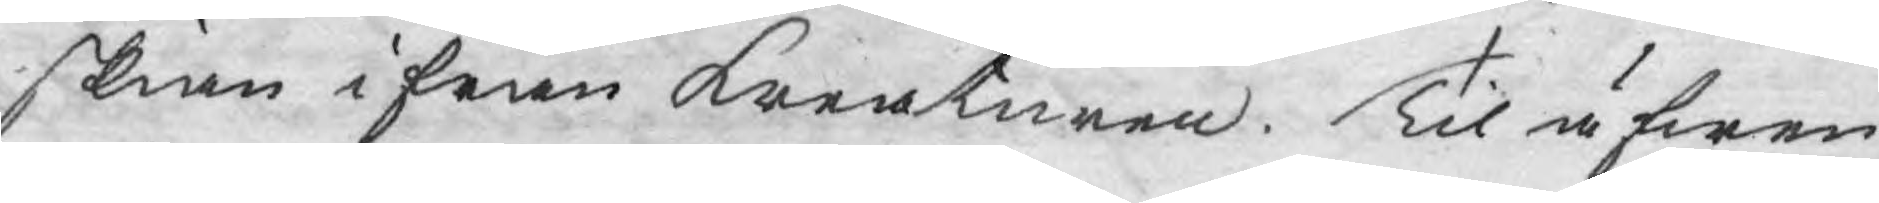skian ifrån Kreaturen. Til äfwen
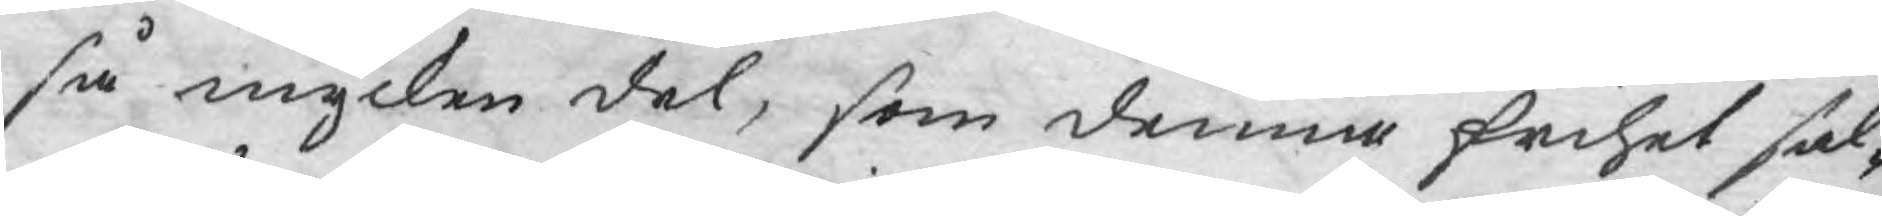så mycken del, som denna frihet sak¬
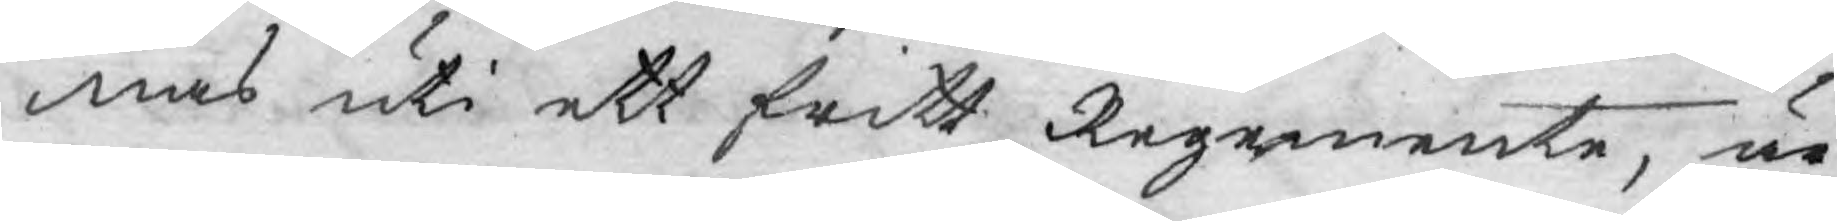nas uti ett fritt Regemente, är
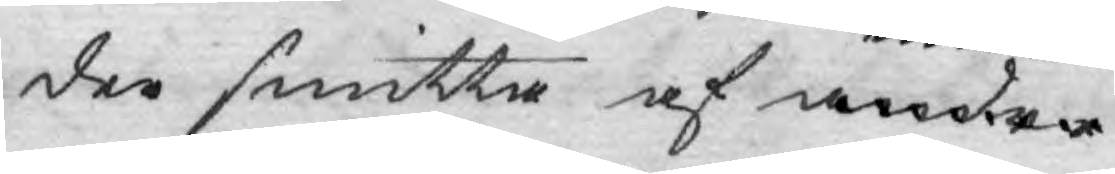der smitta af andra
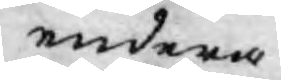endera
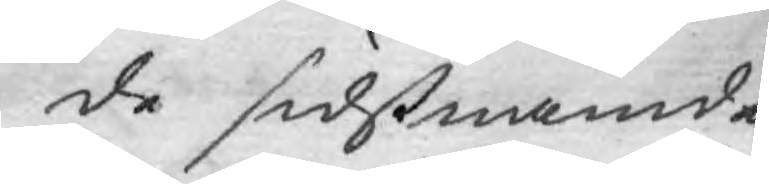de sidstnämnde,
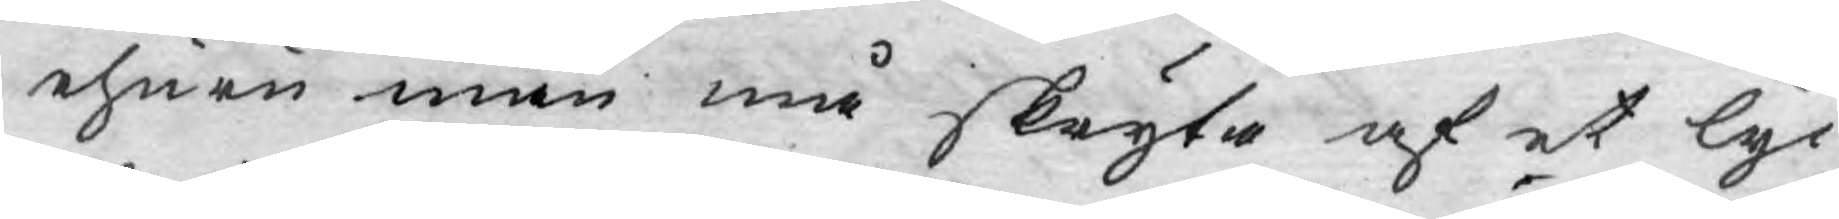ehuru man må skryta af et lyc¬
